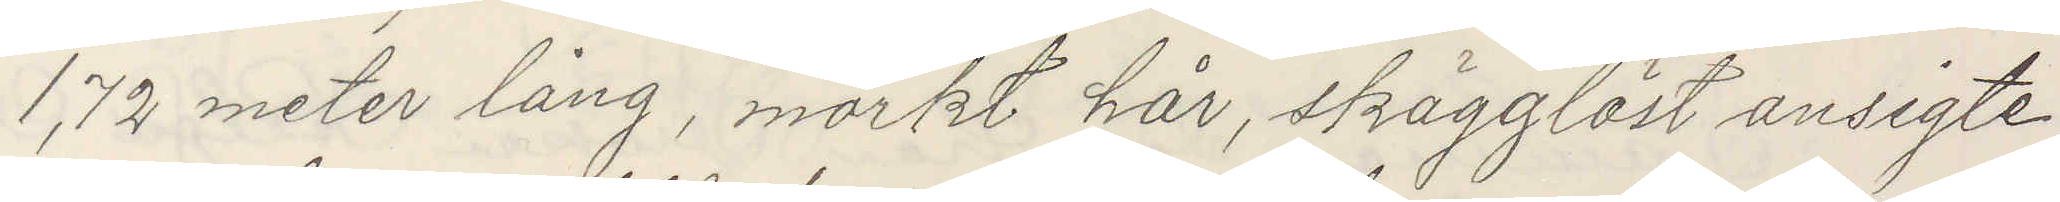1,72 meter lång, mörkt hår, skägglöst ansigte
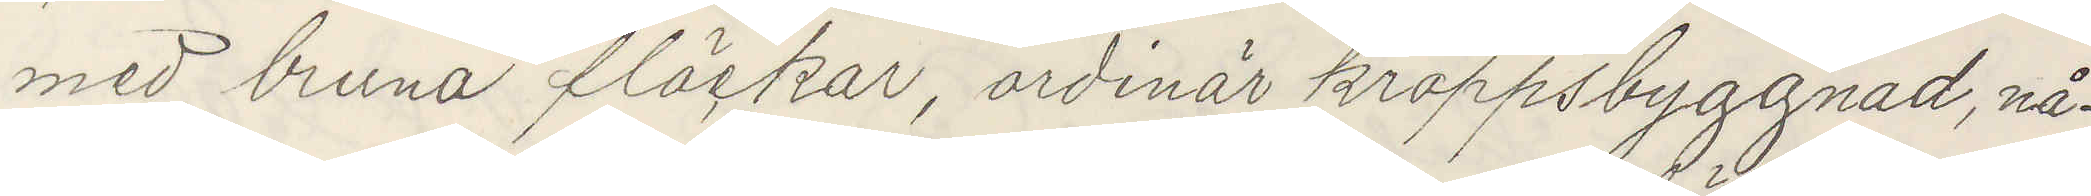med bruna fläckar, ordinär kroppsbyggnad, nå¬
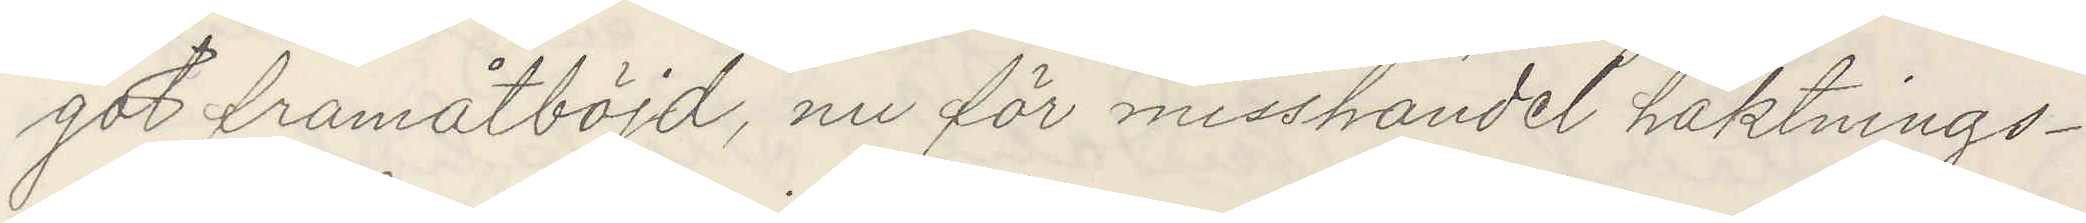got framåtböjd, nu för misshandel häktnings¬
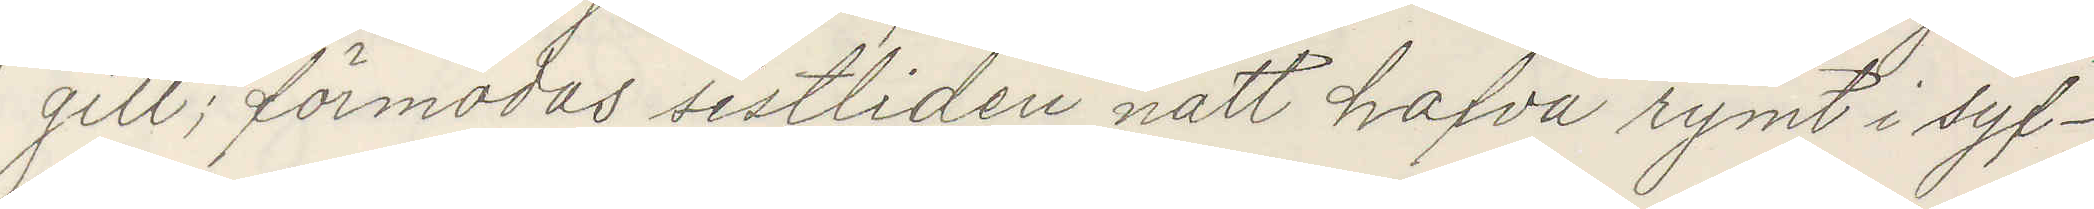gill; förmodas sistliden natt hafva rymt i syf¬
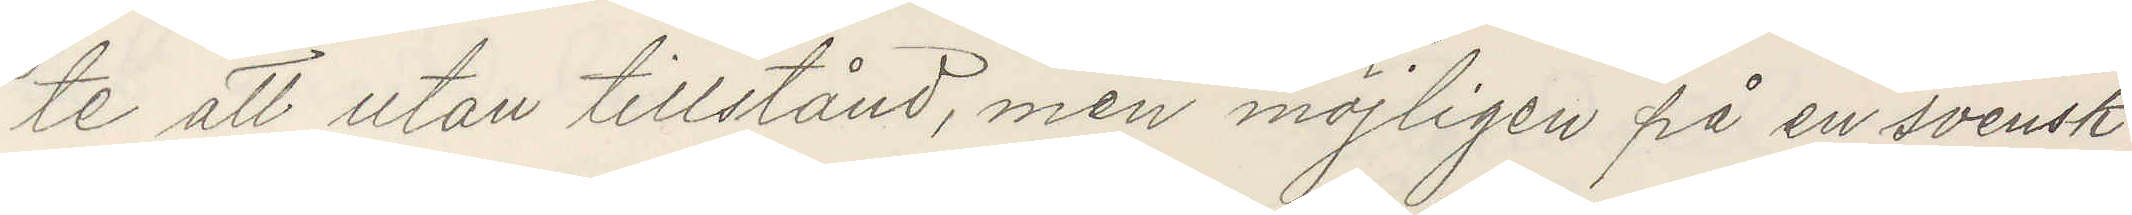te att utan tillstånd, men möjligen på en svensk
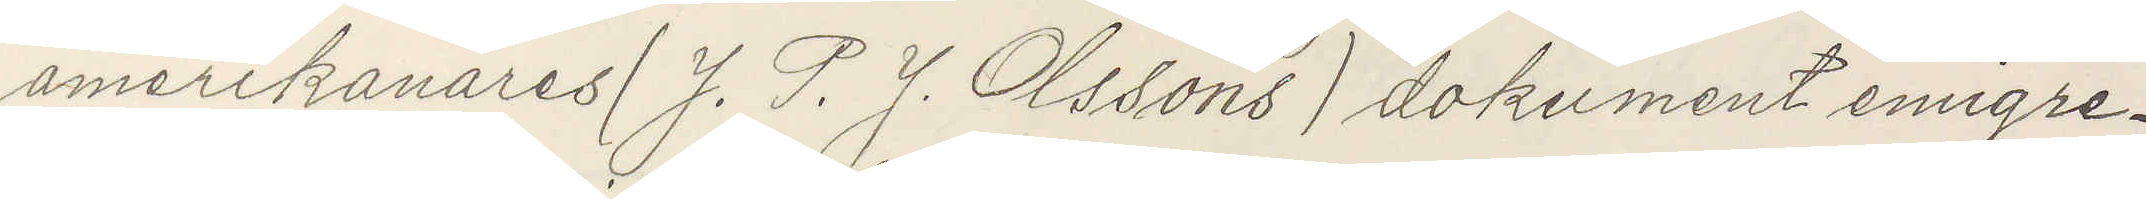amerikanares (J. P. J. Olssons) dokument emigre¬
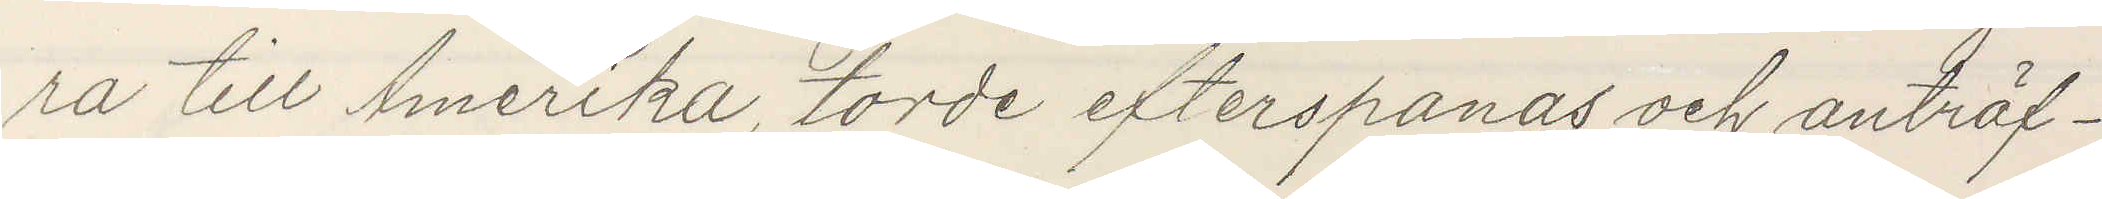ra till Amerika, torde efterspanas och anträf¬
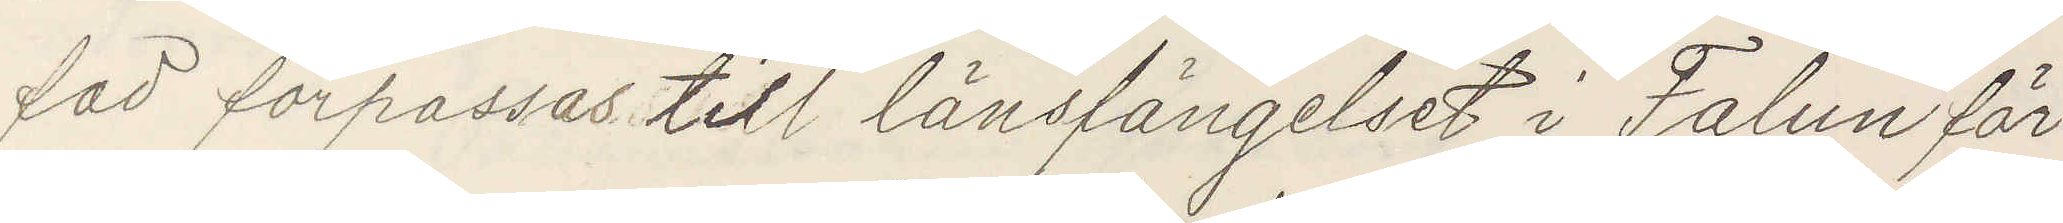fad förpassas till länsfängelset i Falun för
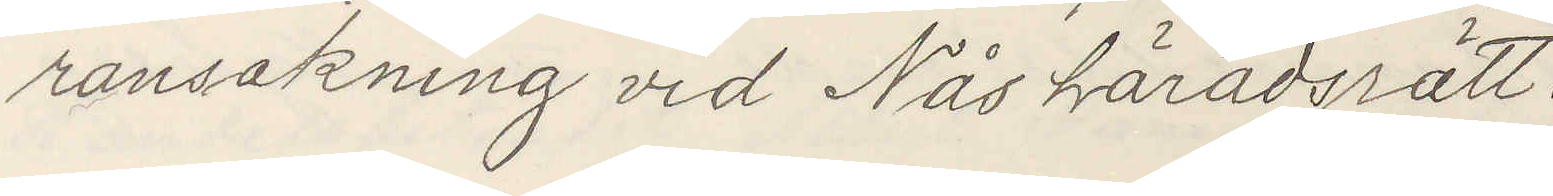ransakning vid Nås häradsrätt.
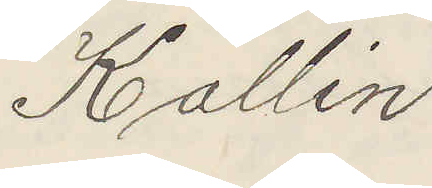Kallin
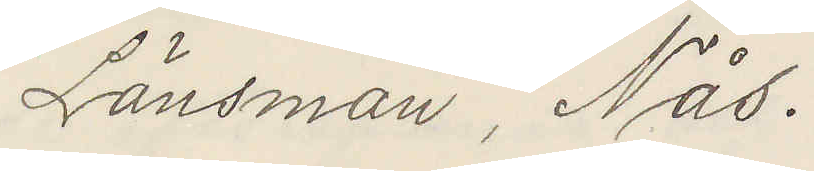Länsman, Nås.
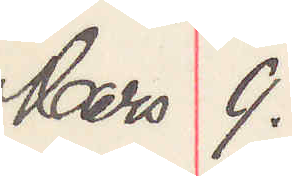Mars 9.
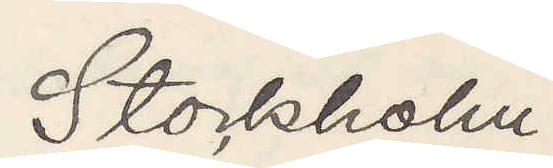Stockholm.
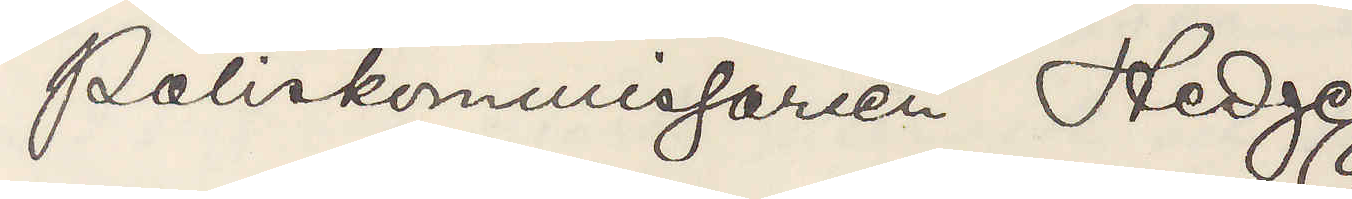Poliskommissarein Hedge
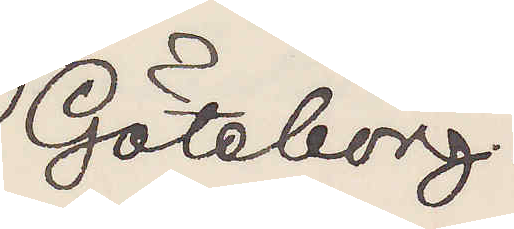Göteborg.
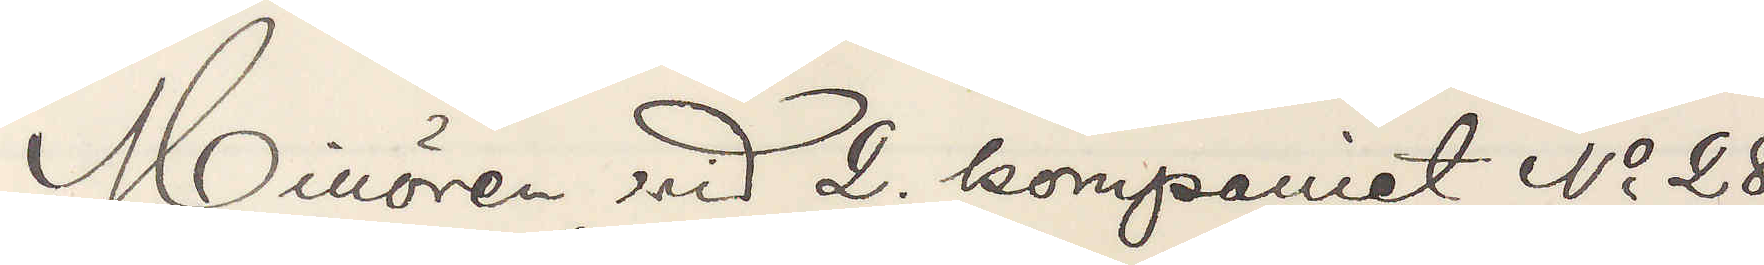Minören vid 2 kompaniet No 28
